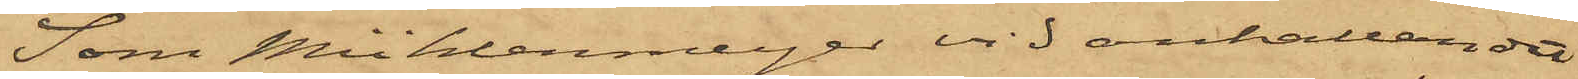Som Mühlenmeijer vid anhållandet
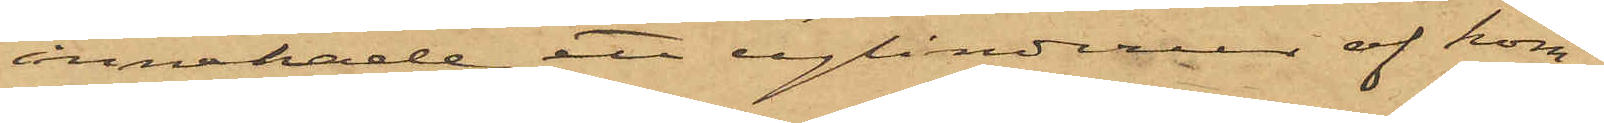innehade ett cylinderur af kom¬
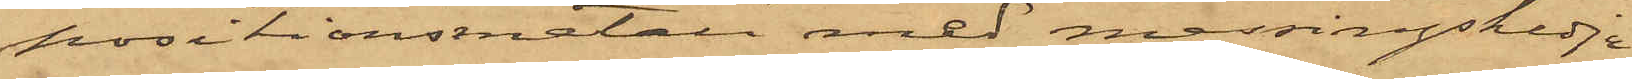positionsmetall med messingskedja,
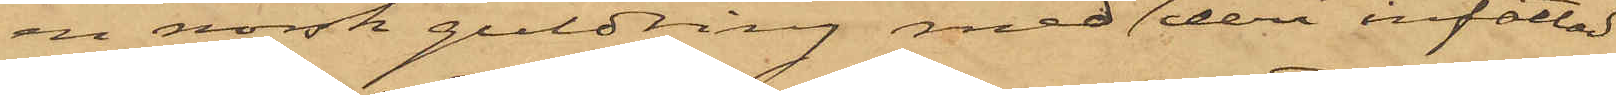en norsk guldring med en deri infattad
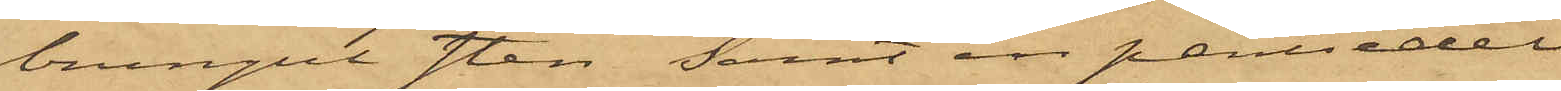brungul sten samt en pantsedel
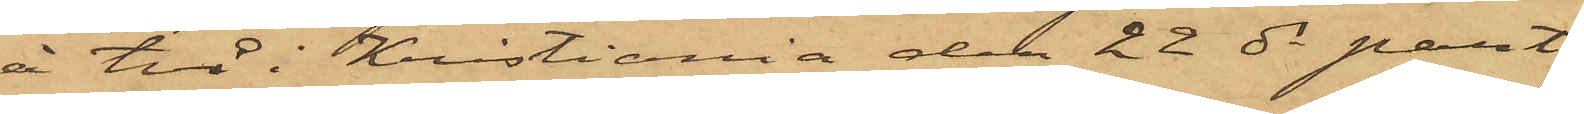å två i Kristiania den 22 ds pant¬
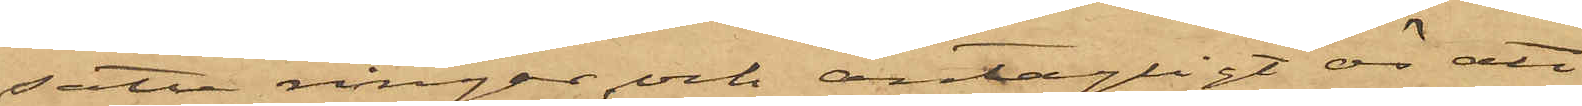satte ringar och antagligt är att
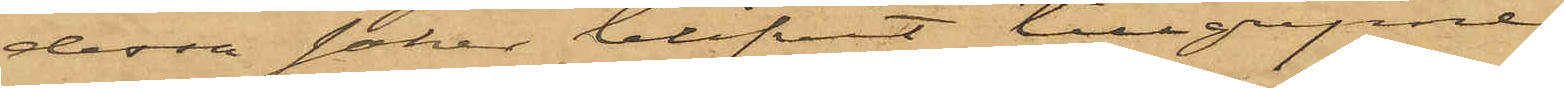dessa saker blifvit tillgripne
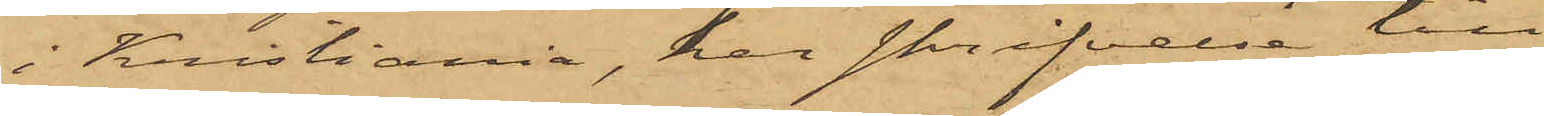i Kristiania, har skrifvelse till
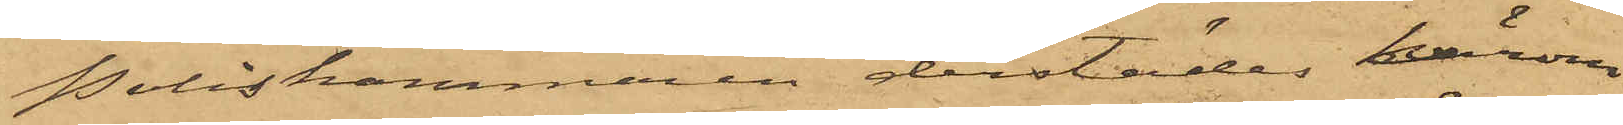Poliskammaren derstädes härom
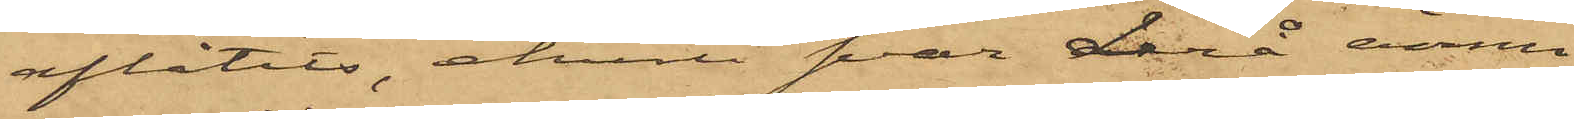aflåtits, ehuru svar derå ännu
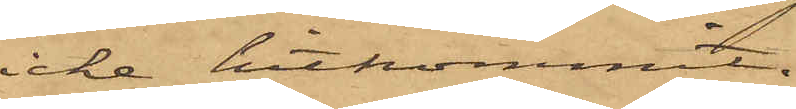icke hitkommit.
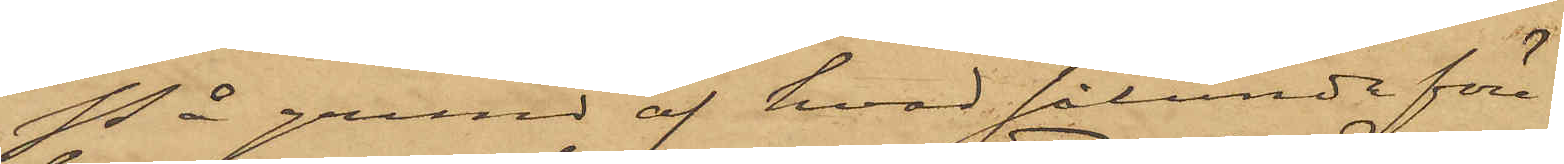På grund af hvad sålunda före¬
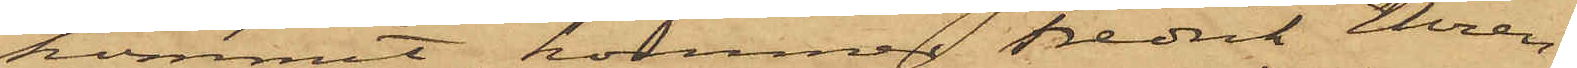kommit, kommer Fredrik Ehren¬
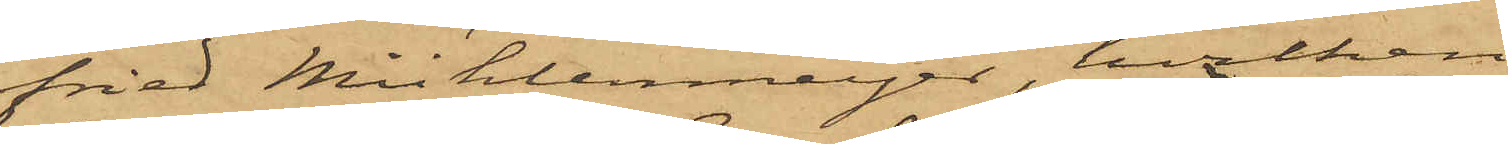fried Mühlenmeijer, hvilken
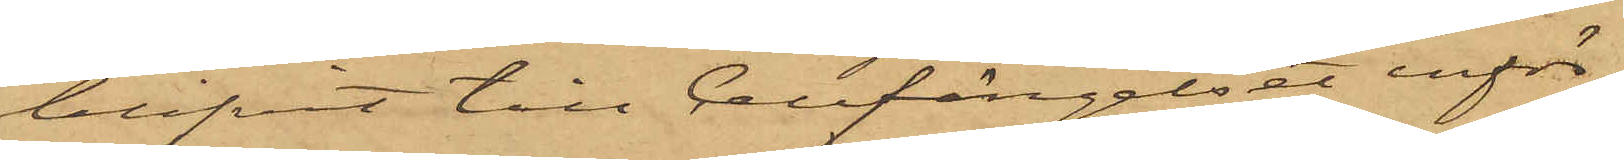blifvit till Cellfängelset inför¬
